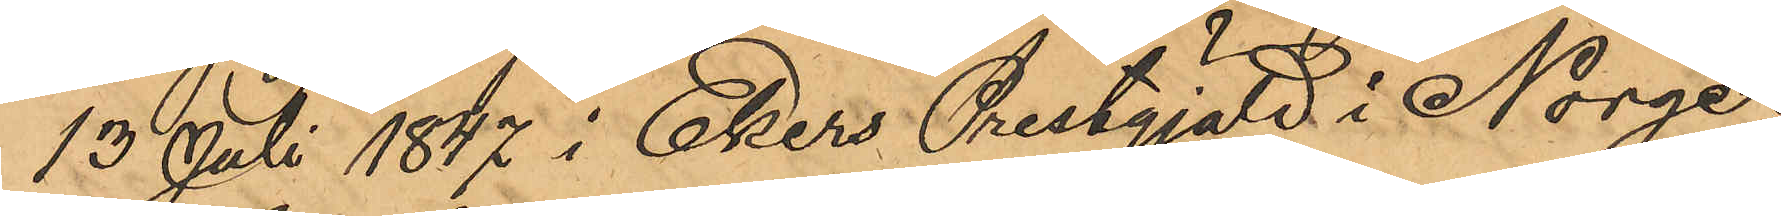13 Juli 1847 i Ekers Prestgjäld i Norge;
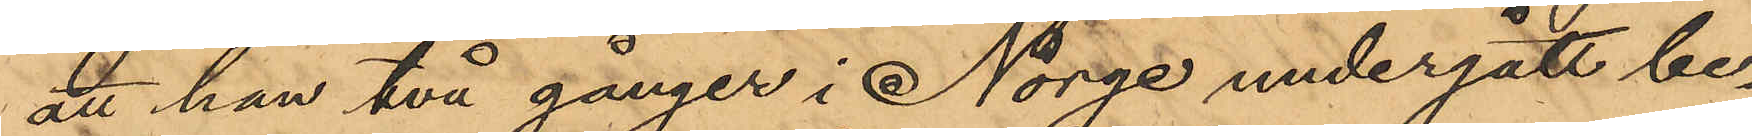att han två gånger i Norge undergått be¬
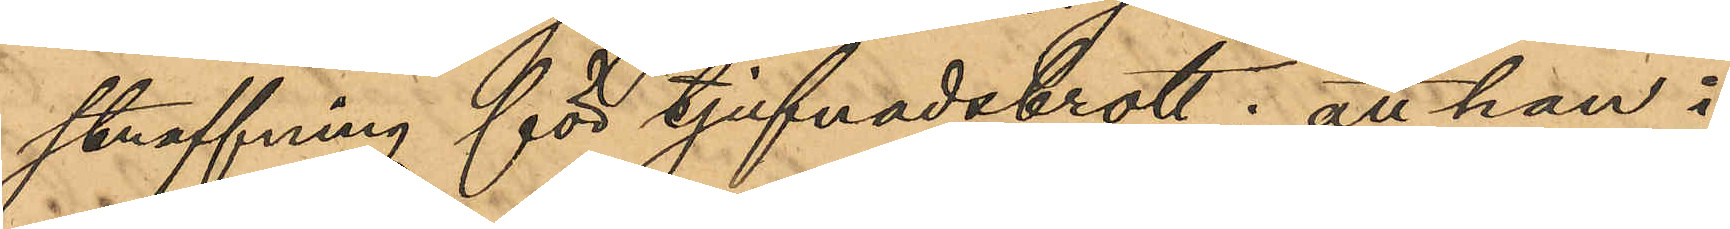straffning för tjufnadsbrott; att han i
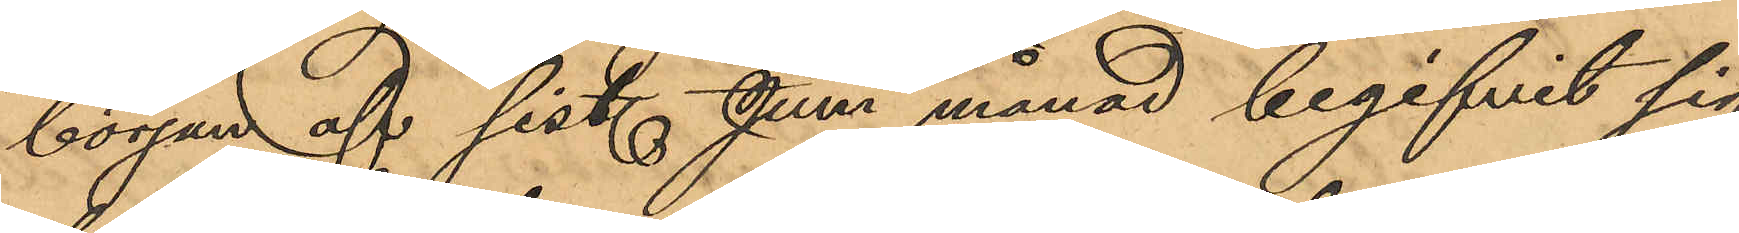början af sist. Juni månad begifvit sig
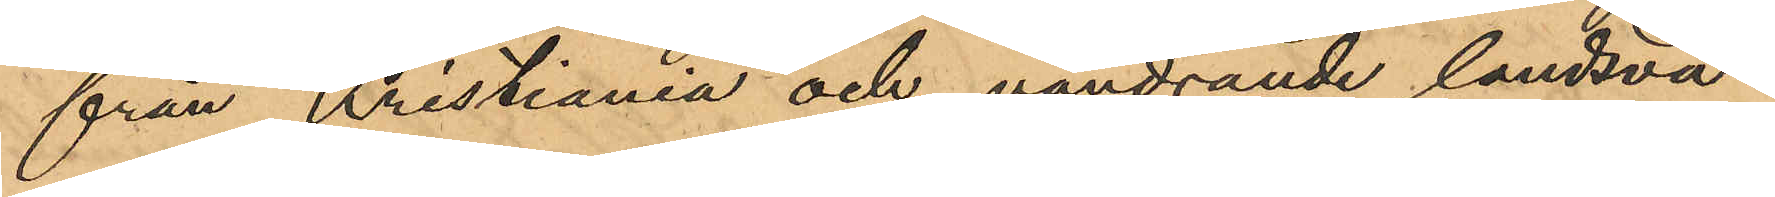från Kristiania och vandrande landsvä¬
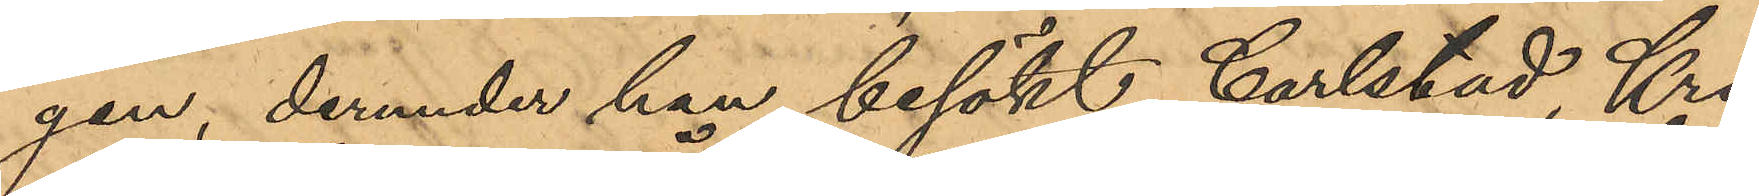gen, derunder han besökt Carlstad, Kri¬
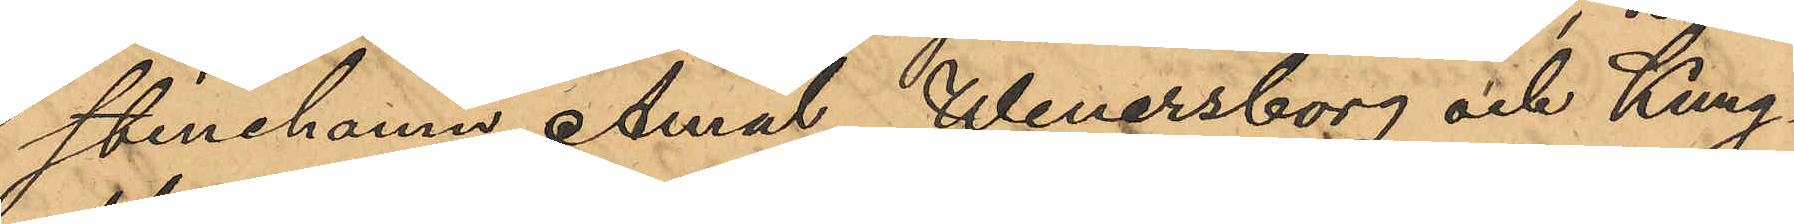stinehamn, Åmål, Wenersborg och Kung¬
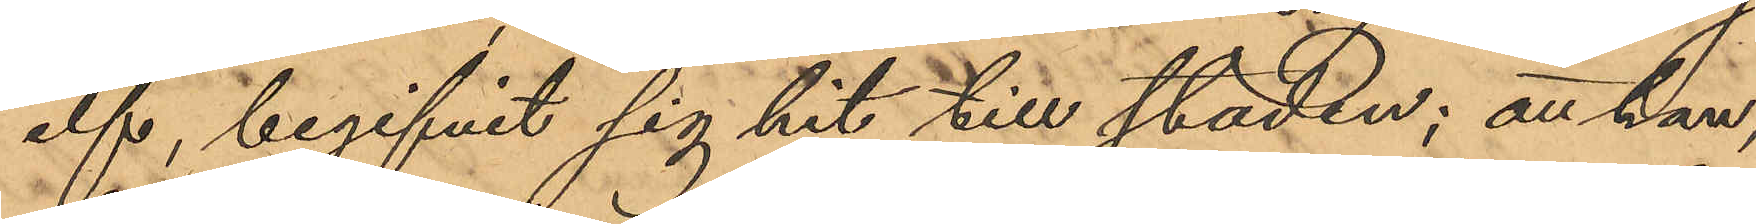elf, begifvit sig hit till staden; att han,
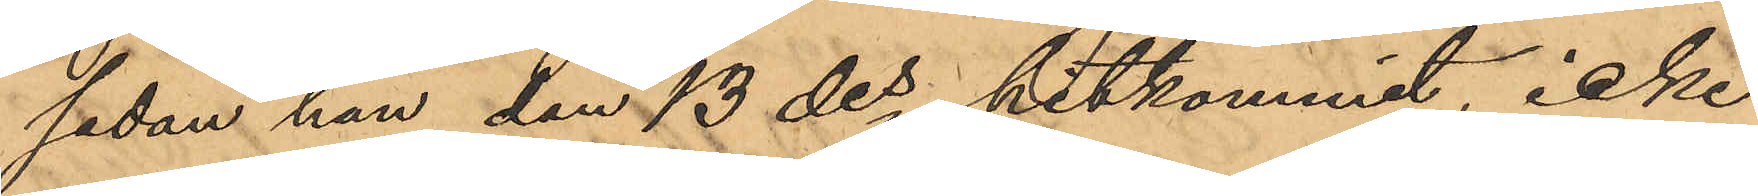sedan han den 13 des hitkommit, icke
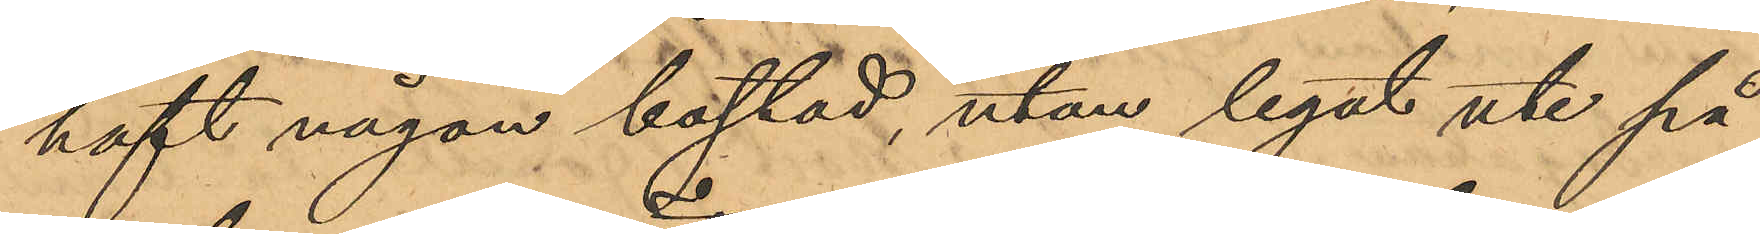haft någon bostad, utan legat ute på
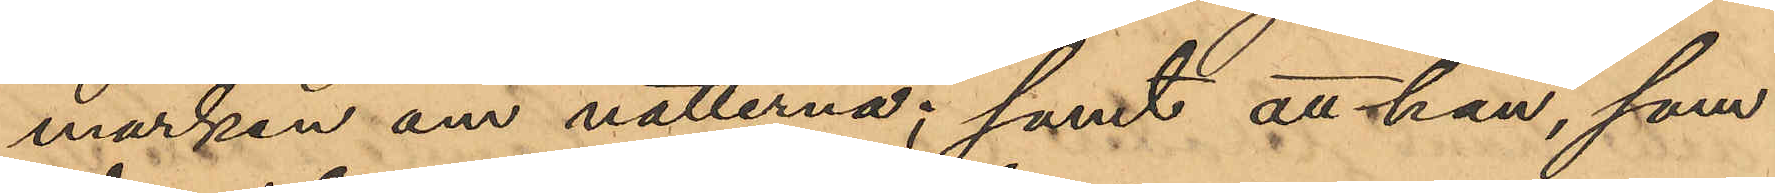marken om nätterna; samt att han, som
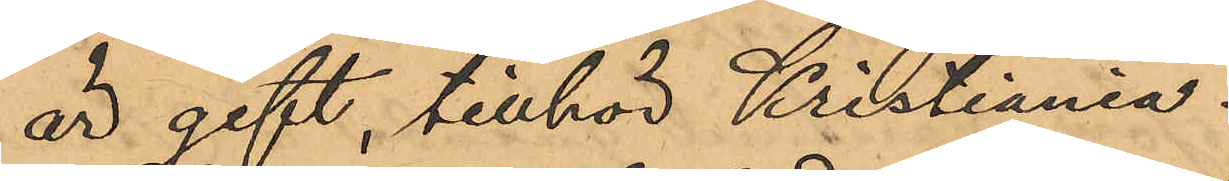är gift, tillhör Kristiania.
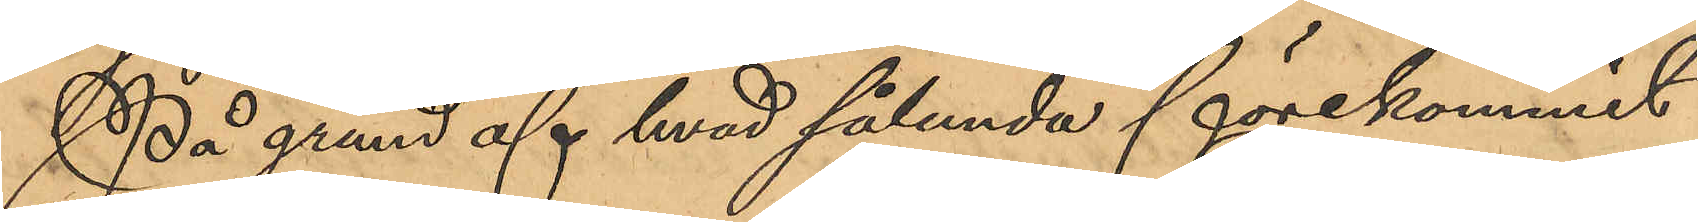På grund af hvad sålunda förekommit
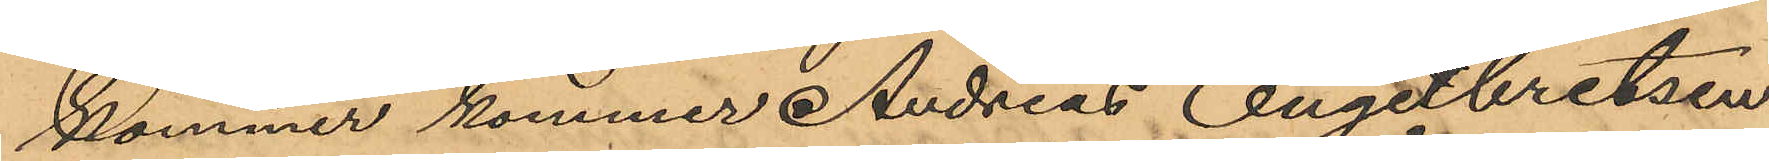kommer kommer Andreas Engebretsen
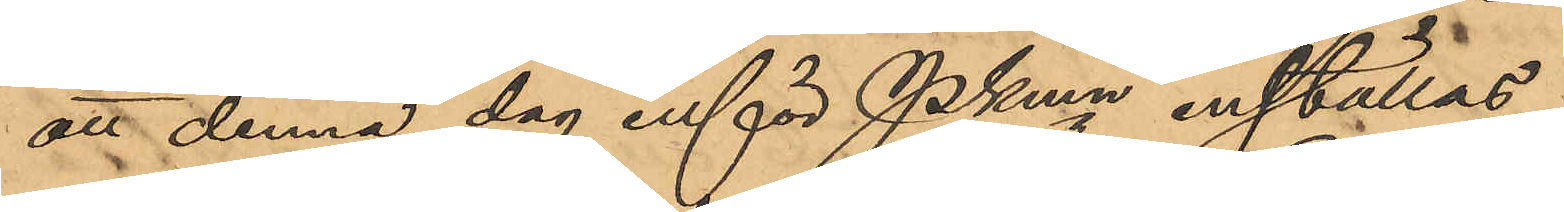att denna dag inför Pkmn inställas.
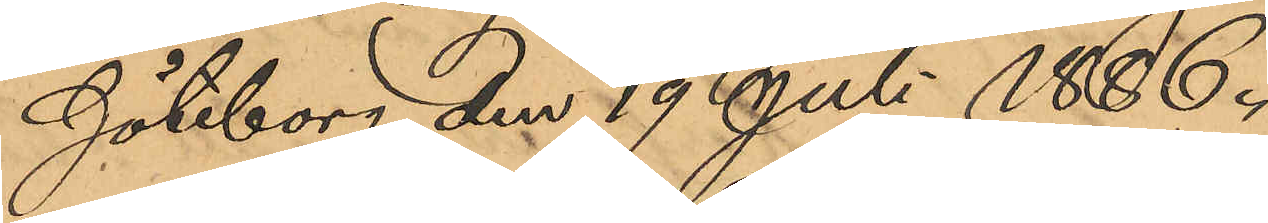Göteborg den 19 Juli 1886.
